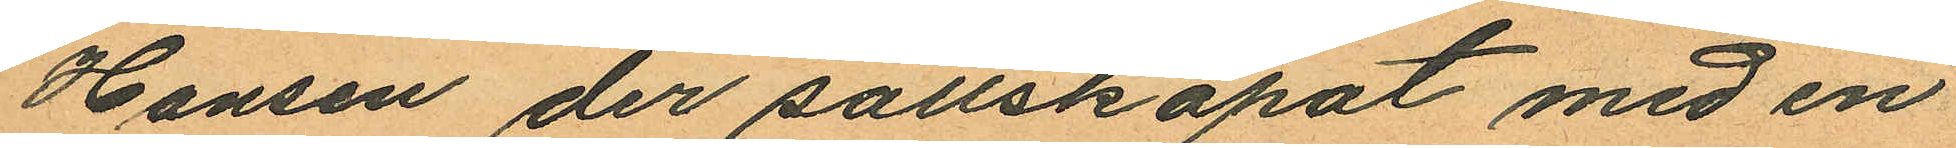Hansen der sällskapat med en
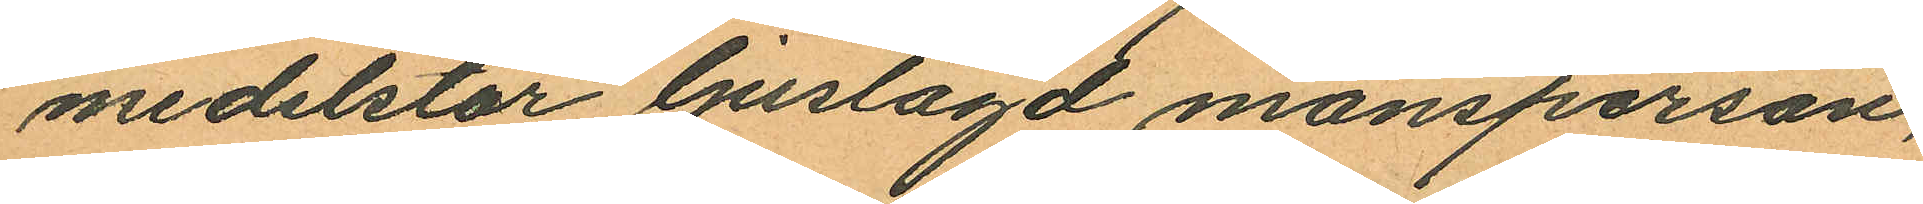medelstor ljuslagd mansperson,
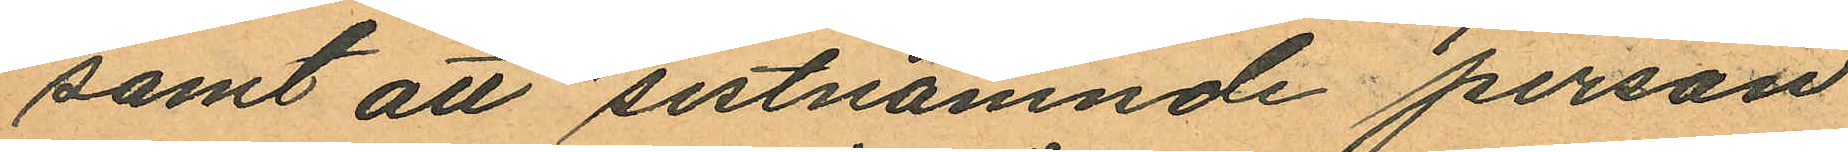samt att sistnämnde person
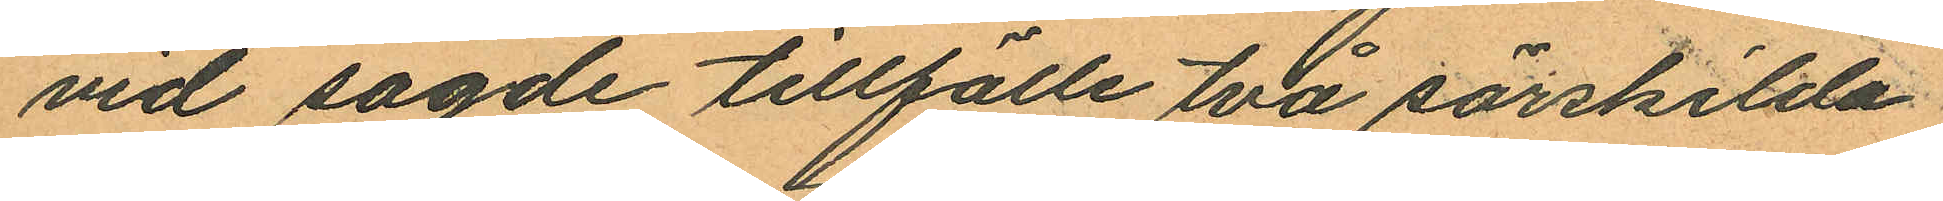vid sagde tillfälle två särskilda
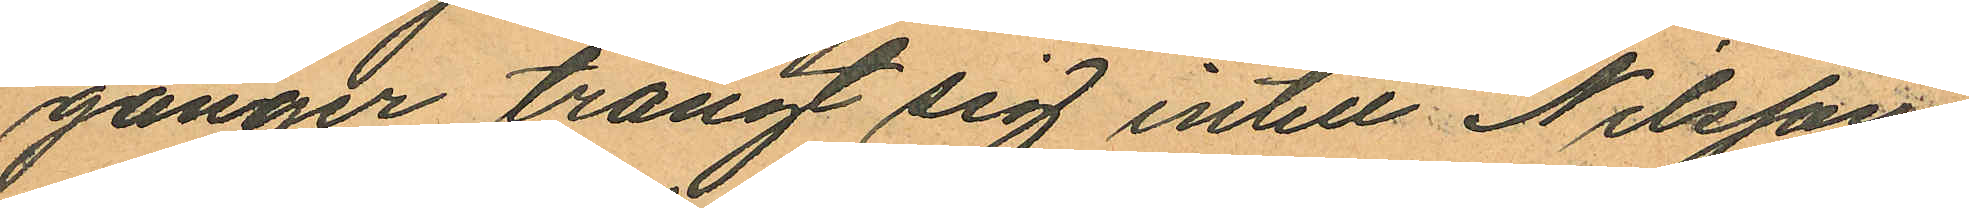gånger trängt sig intill Nilsson
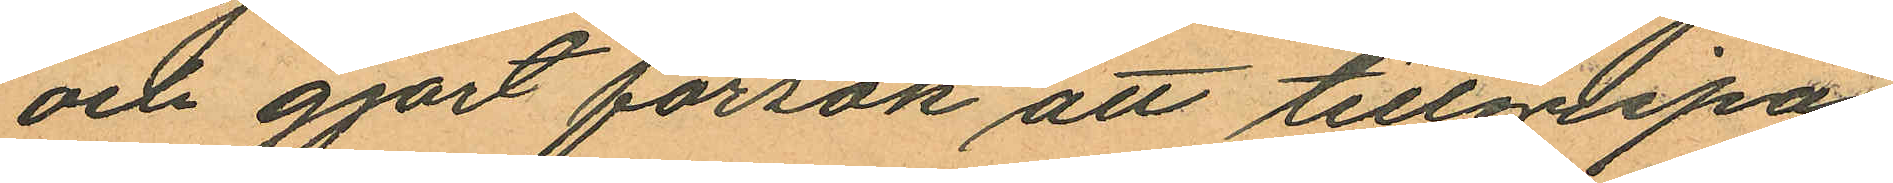och gjort försök att tillgripa
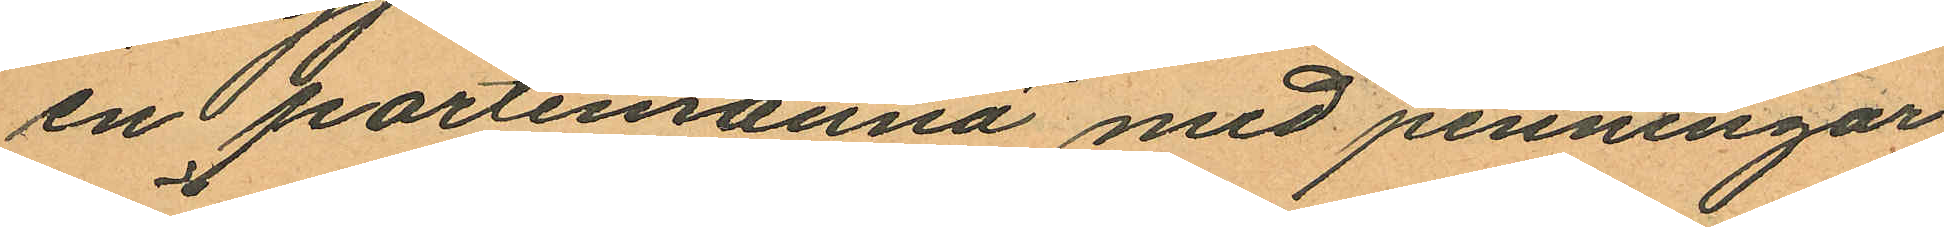en portemonnä med penningar
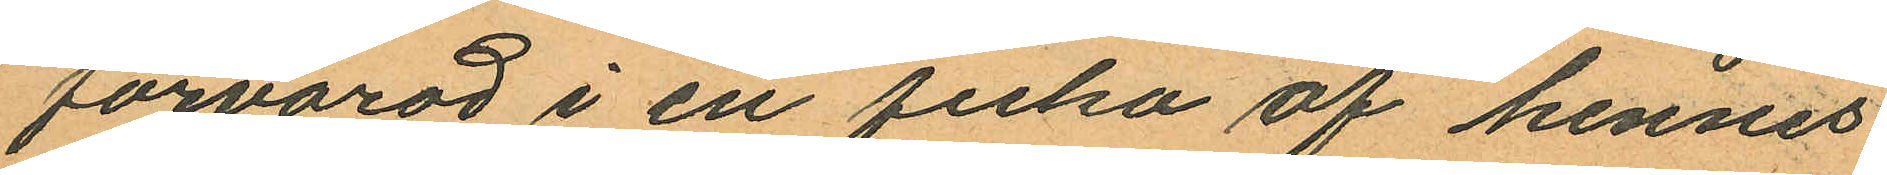förvarad i en ficka af hennes
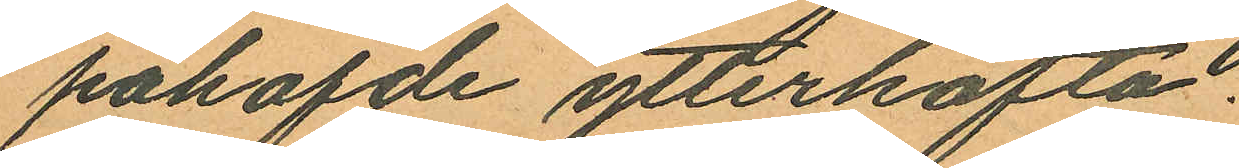påhafde ytterkofta.
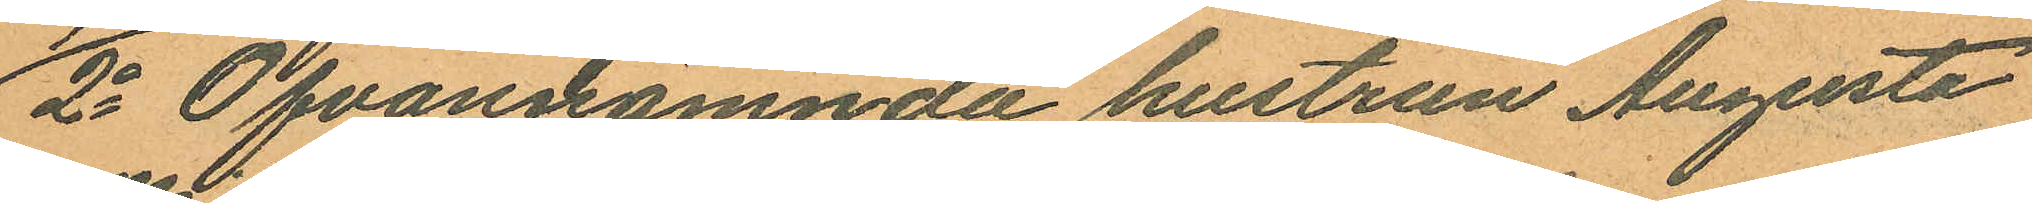2o Ofvannämnda hustrun Augusta
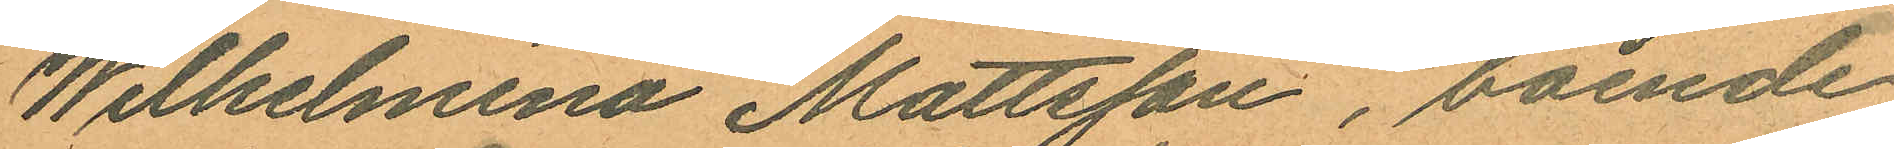Wilhelmina Mattsson, boende
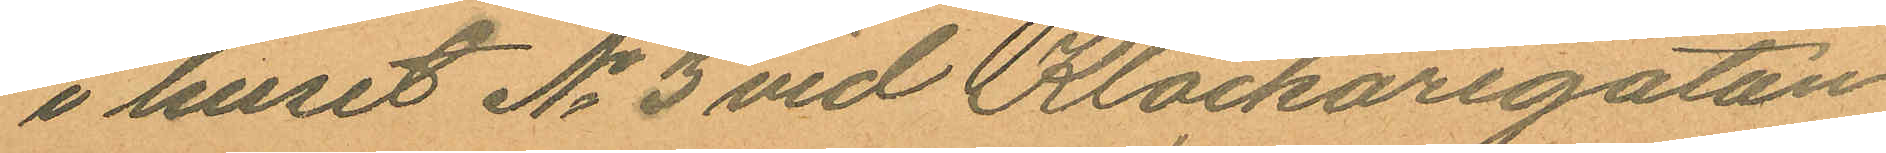i huset No 3 vid Klockaregatan
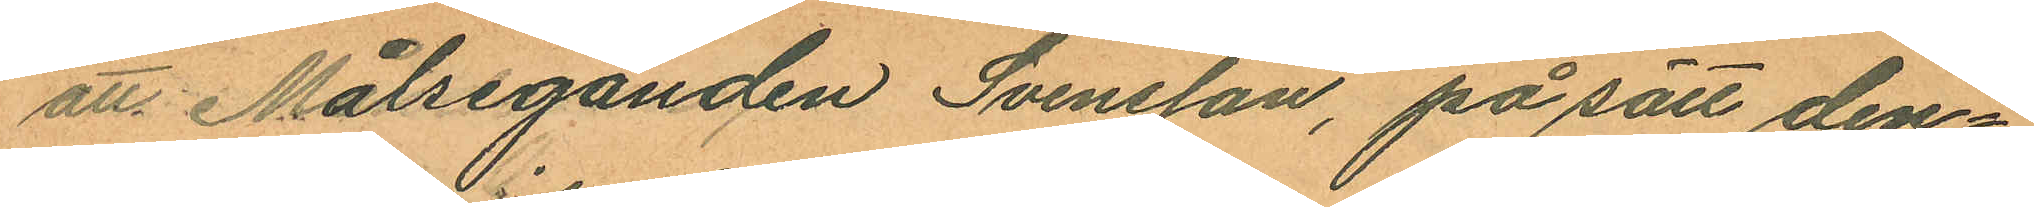att Målseganden Svensson, på sätt den¬
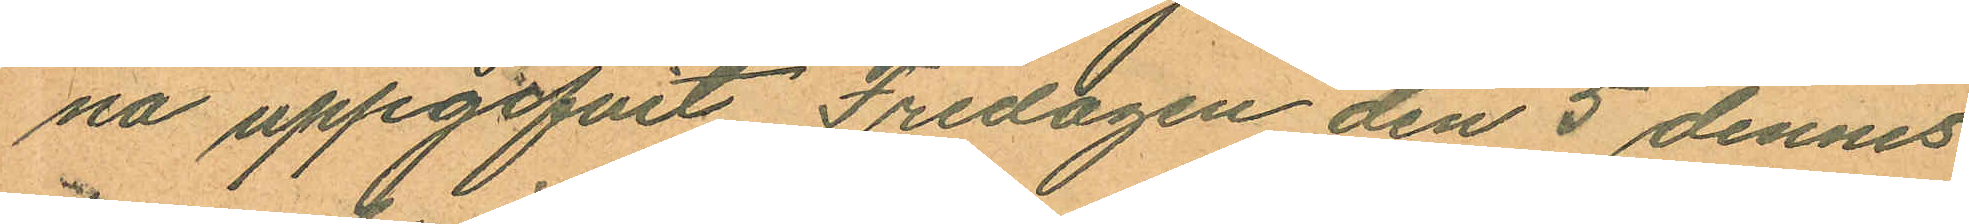na uppgifvit Fredagen den 5 dennes
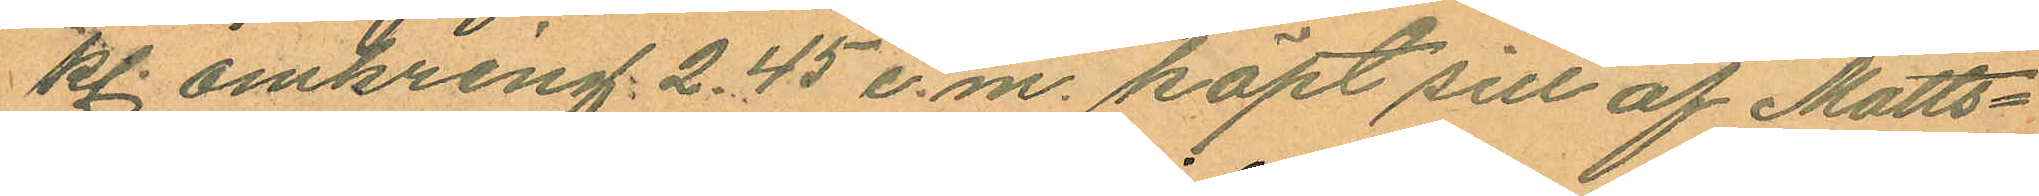kl omkring. 2,45 e.m. köpt sill af Matts¬
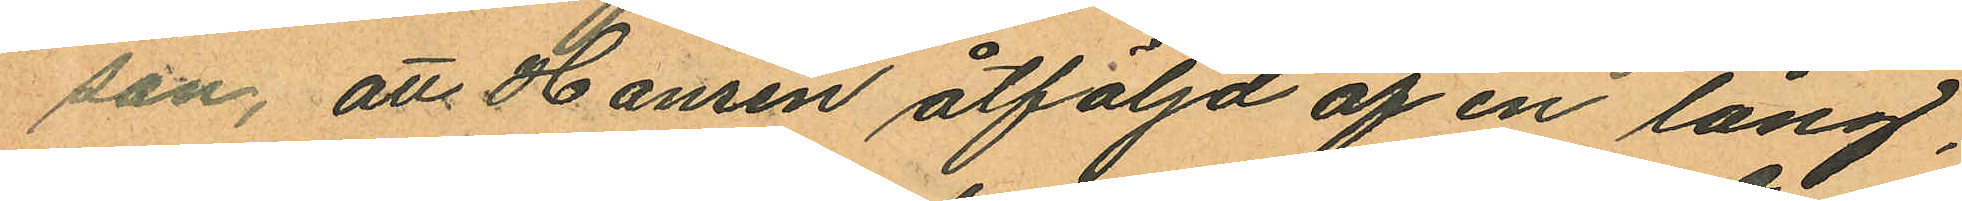son, att Hansen åtföljd af en lång,
